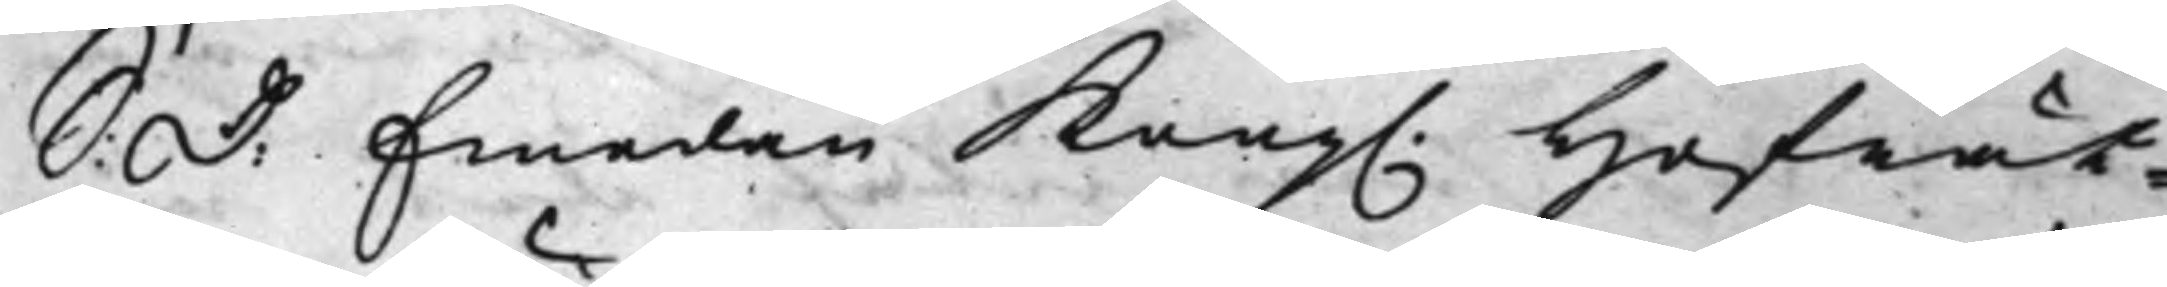S: D: Emedan Kong. Hofrät¬
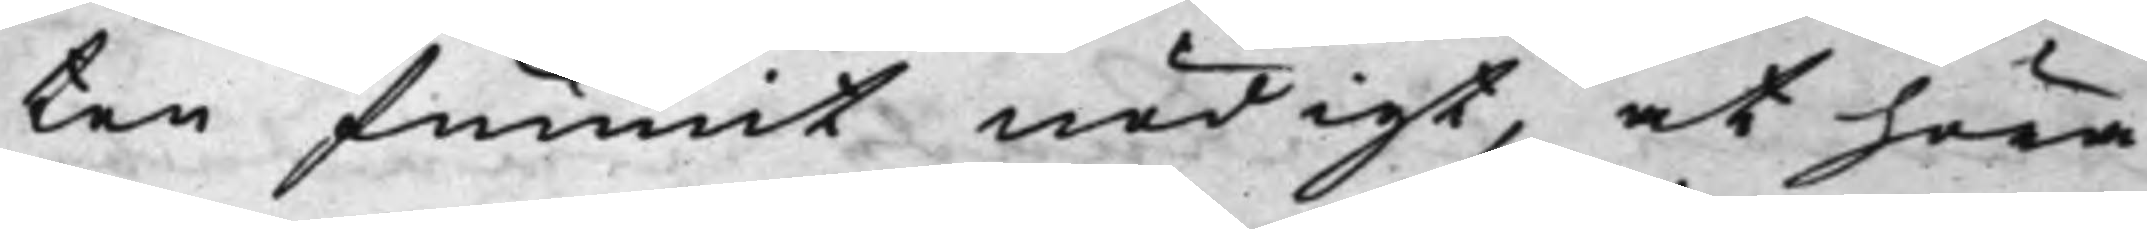ten funnit nödigt, at höra
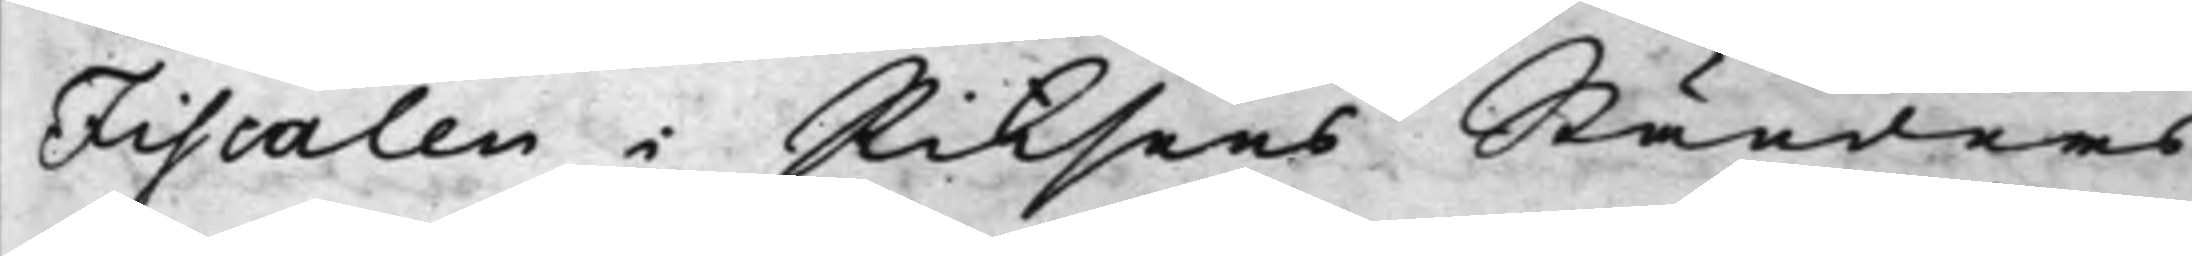Fiscalen i Riksens Ständers
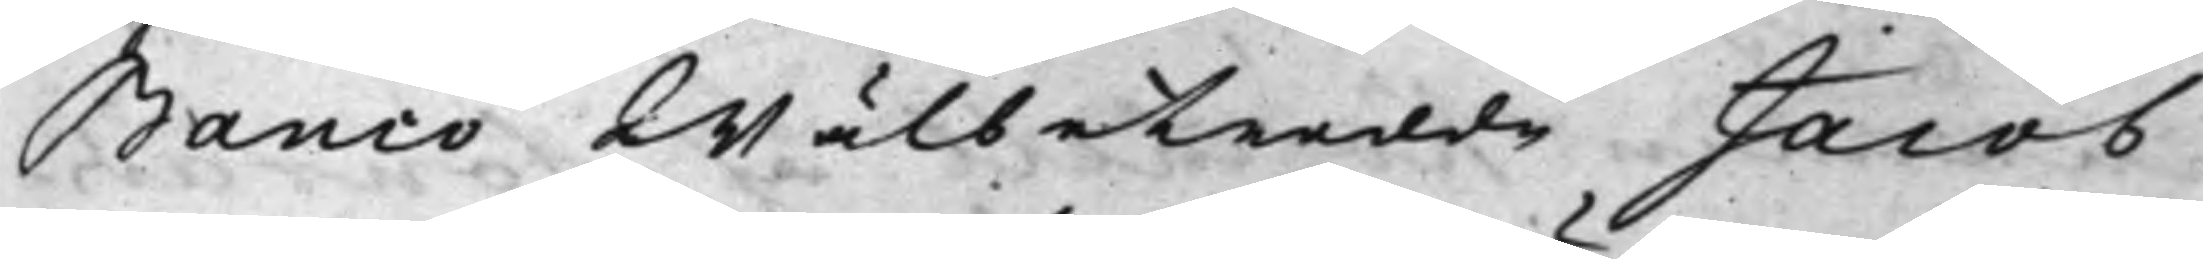Banco Wälbetrodde Jacob
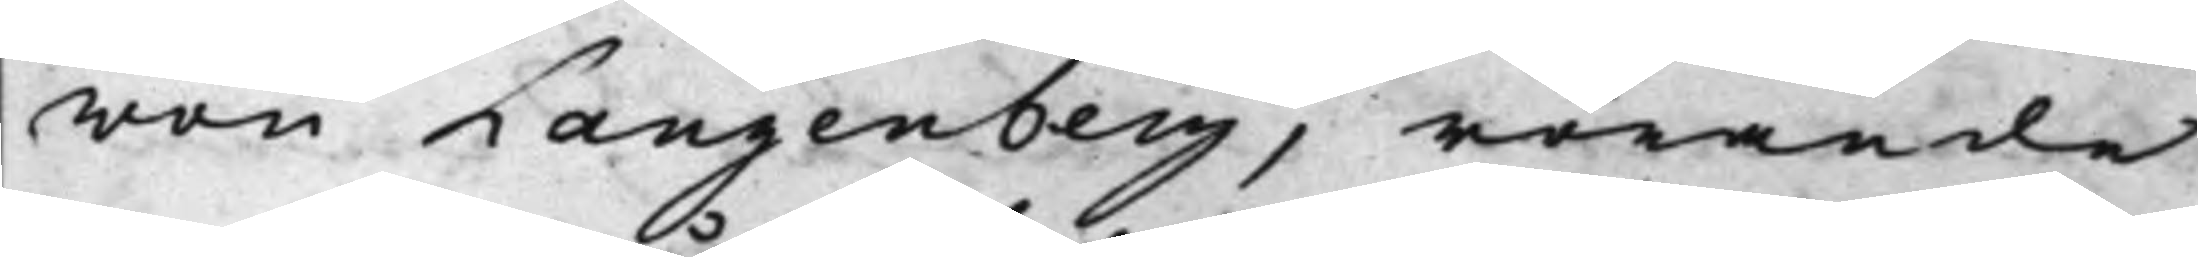von Langenberg, rörande
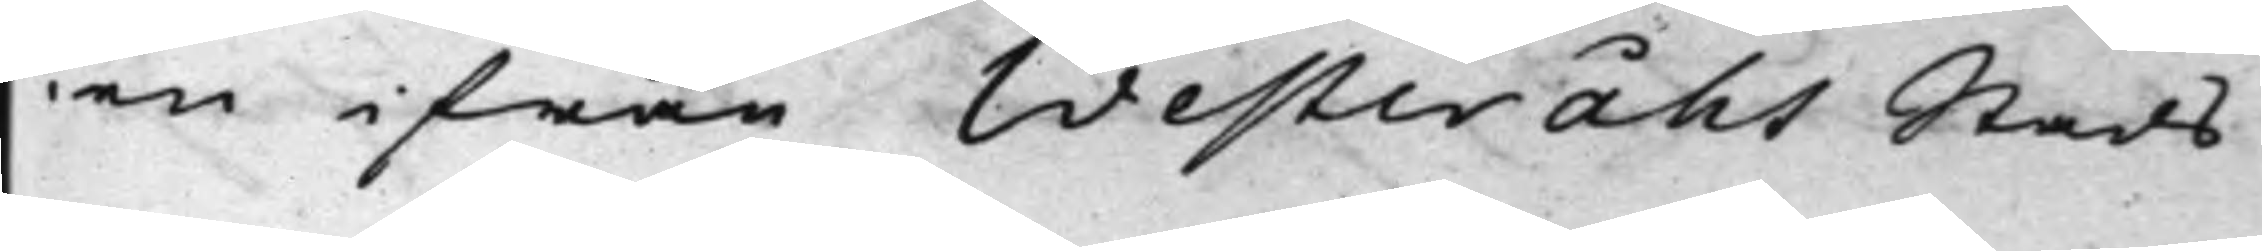en ifrån Westeråhs Stads
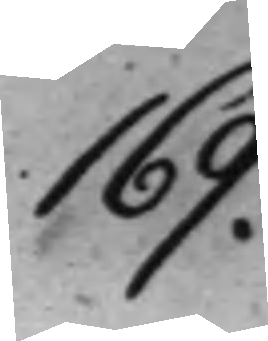169.
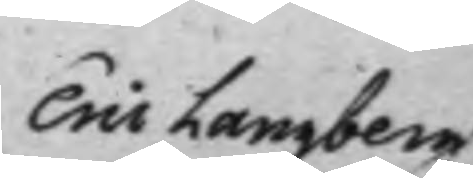Eric Langberg
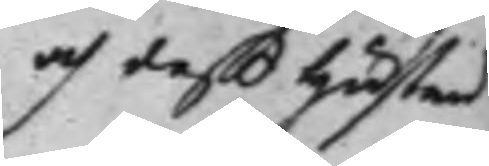och deß Hustru
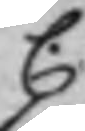C.
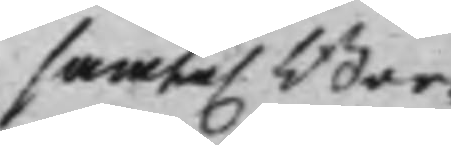samte. Bor¬
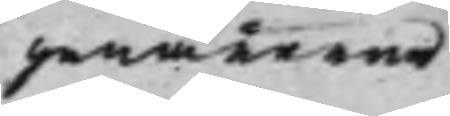genärerne
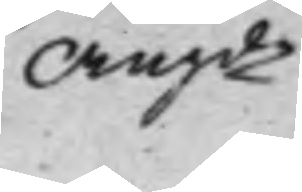Angde.
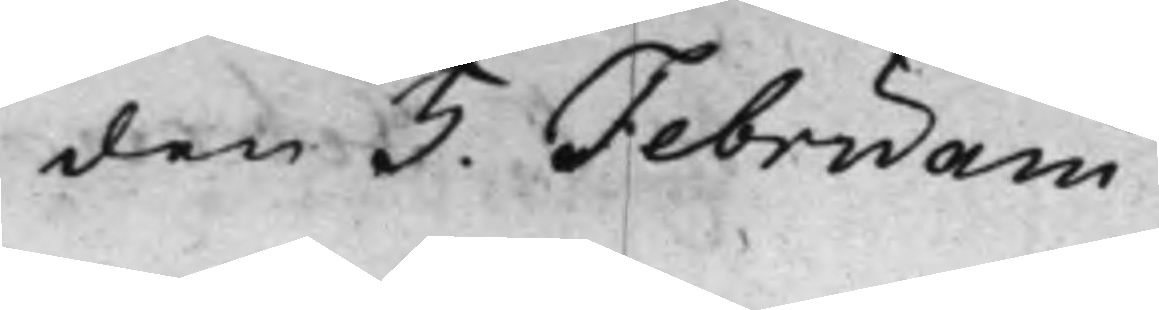den 5. Februarii
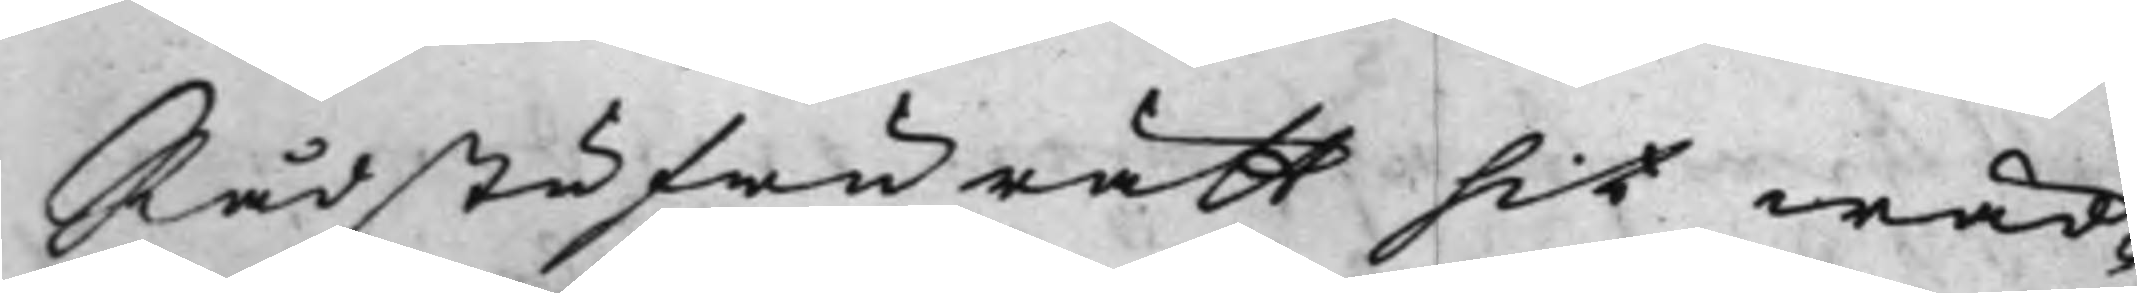Rådstufwurätt hit wäd¬
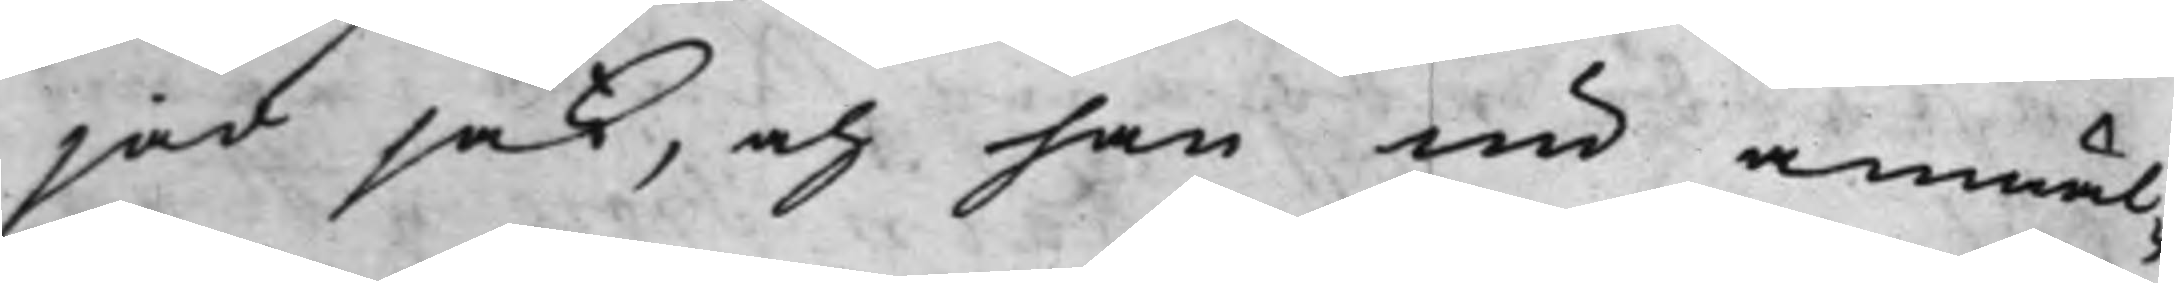jad sak, och han nu anmäl¬
